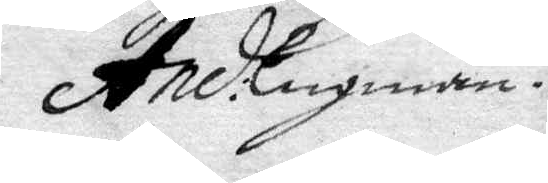And: Engman.
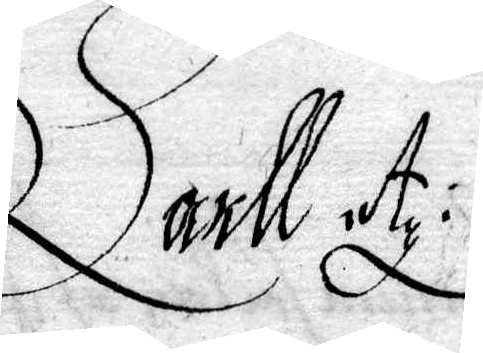.arll Ag:
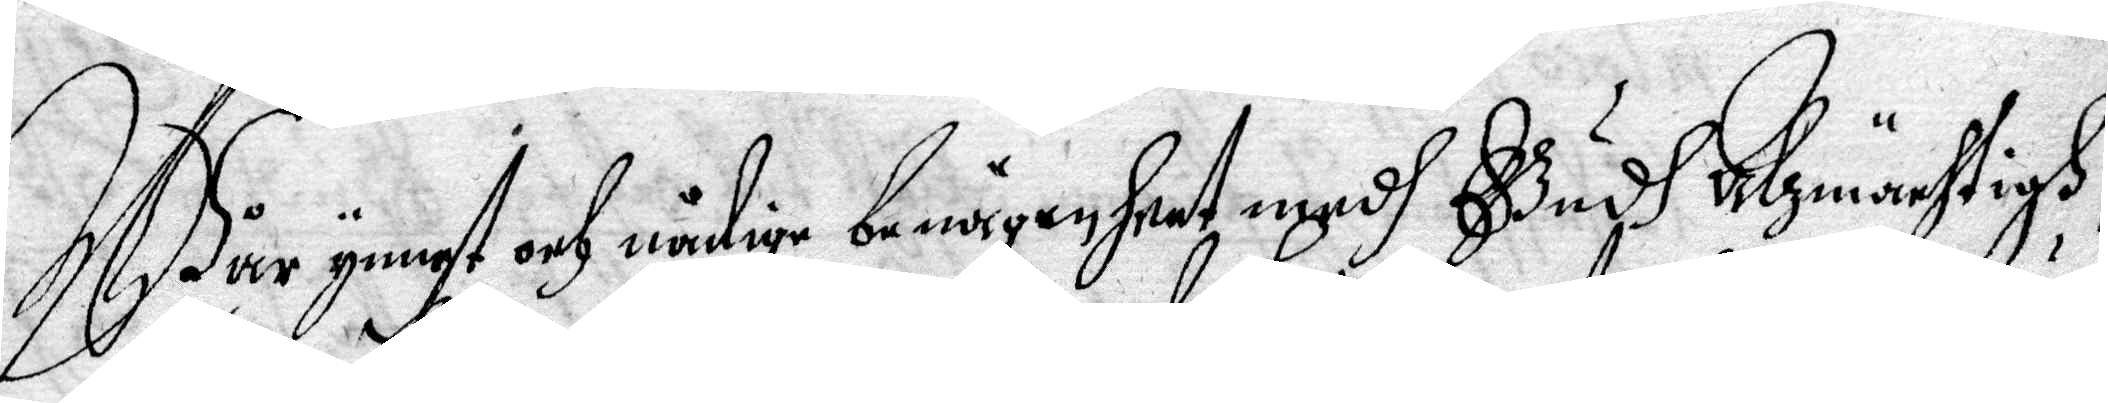Wår gunst och nåfige benägenheet medh Gudh Alzmächtigh,
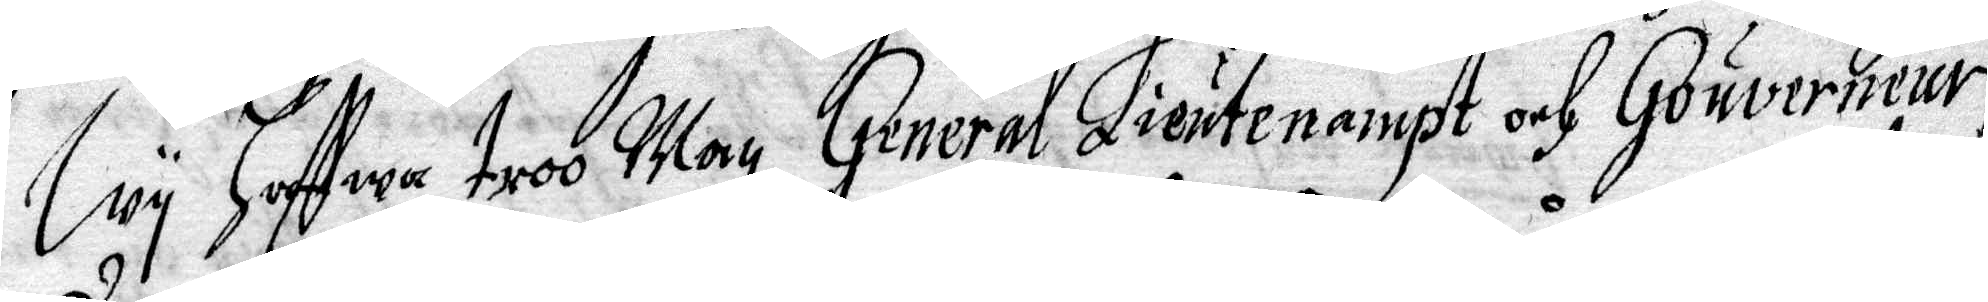Wy Haffwa troo Man, General Lieutenampt och Gouverneur,
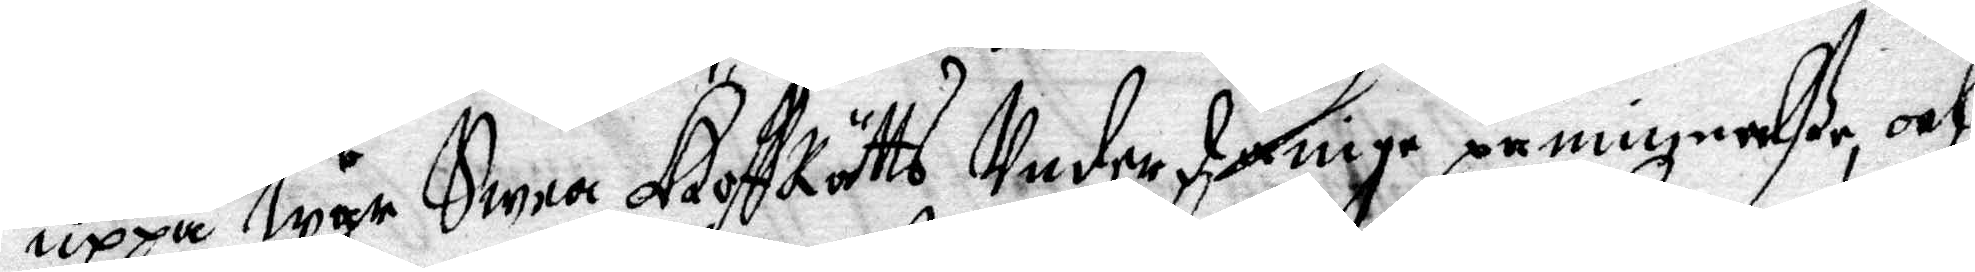Uppå Wår Swea HoffRätts Underdånige påminnelße, och
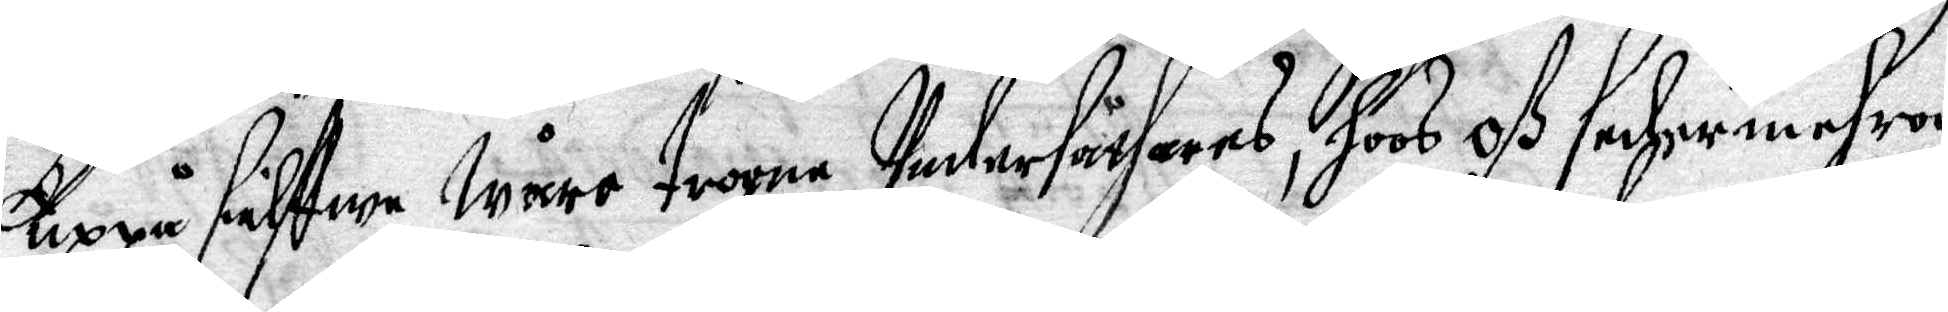Uppå sielffwe Wåre trogne Undersåthars, hoos Oß sedermehra
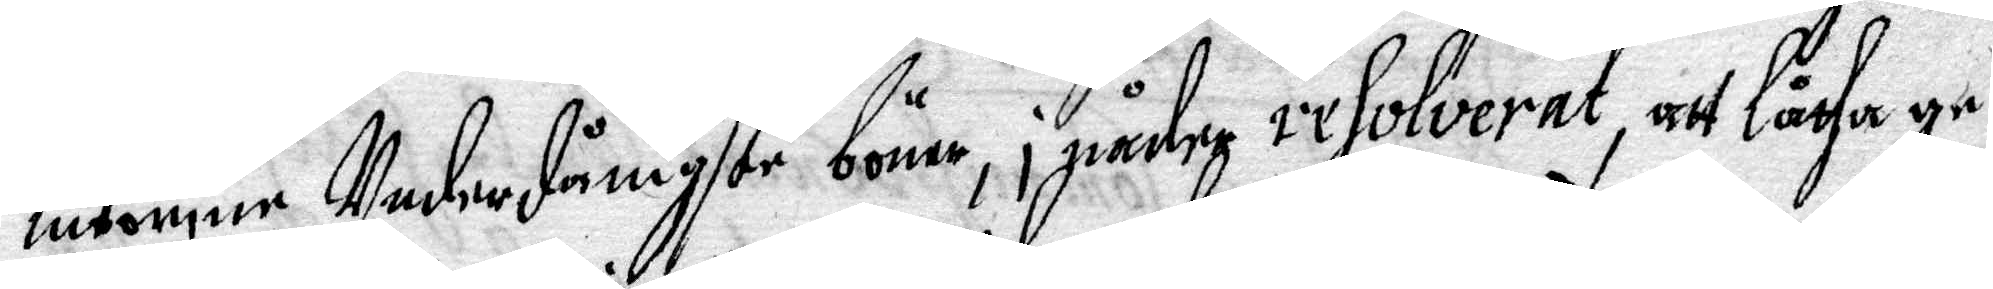inkomne Underdånigste böner, i nåder resolverat, att låtha gr¬
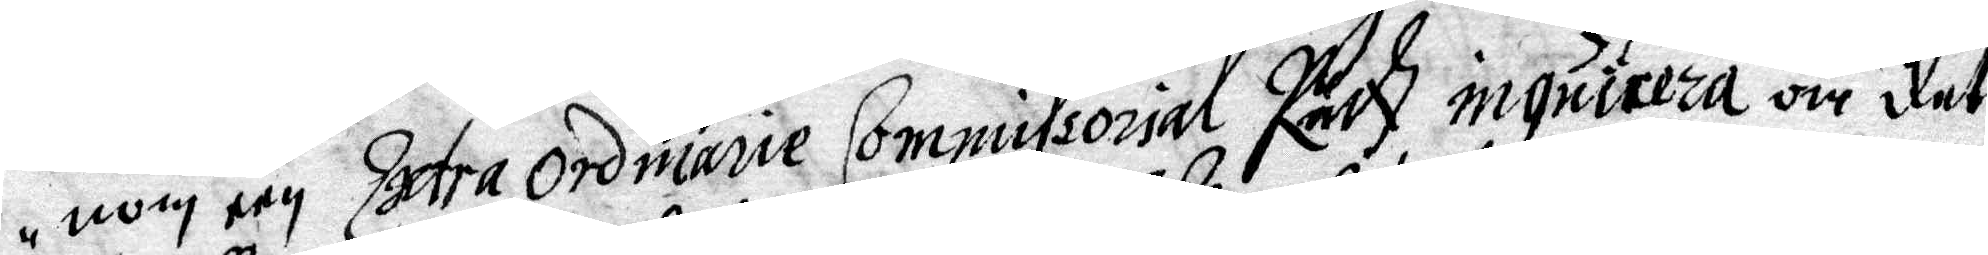nom een Extra Ordinarie Commissorial Rädz inquiceza om det
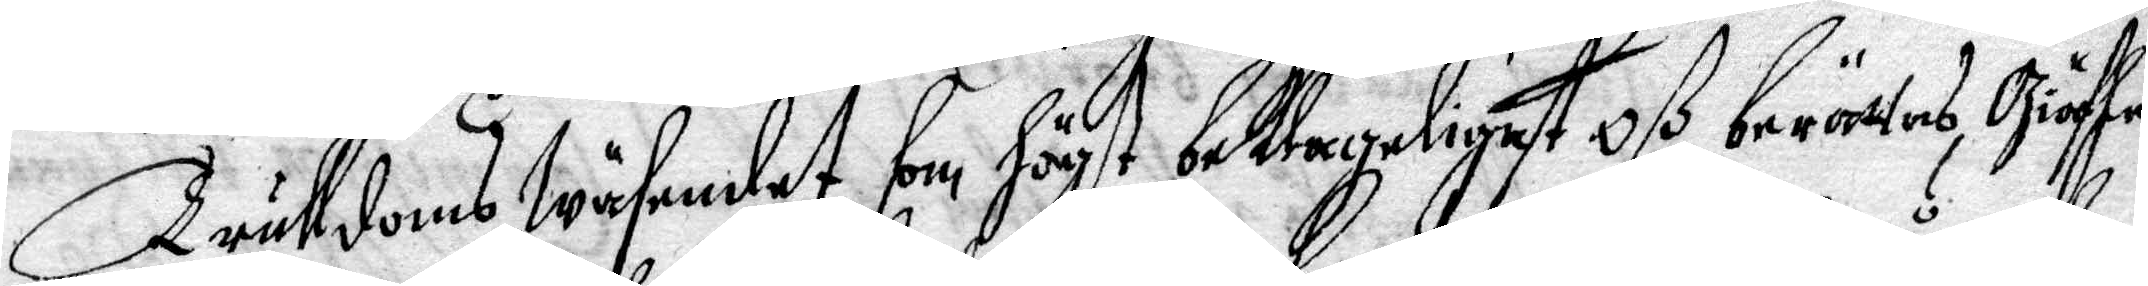trulldoms Wäsendet, som högst beklagligast Oß berättas, Giäfle,
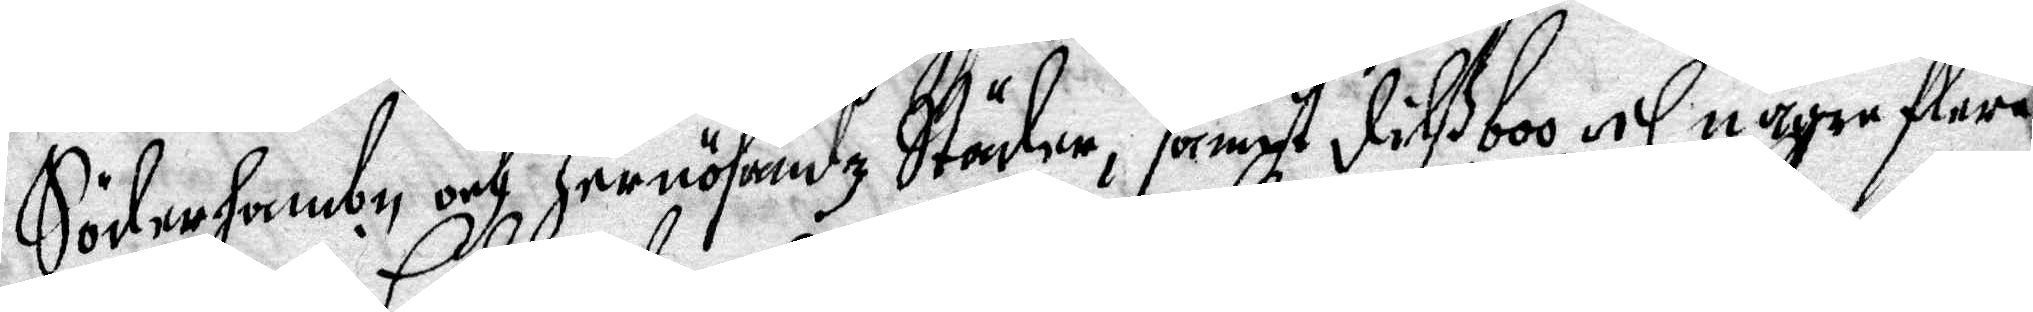Söderhambn och Hernösandz Städer, sampt Dilßboo och någre flere
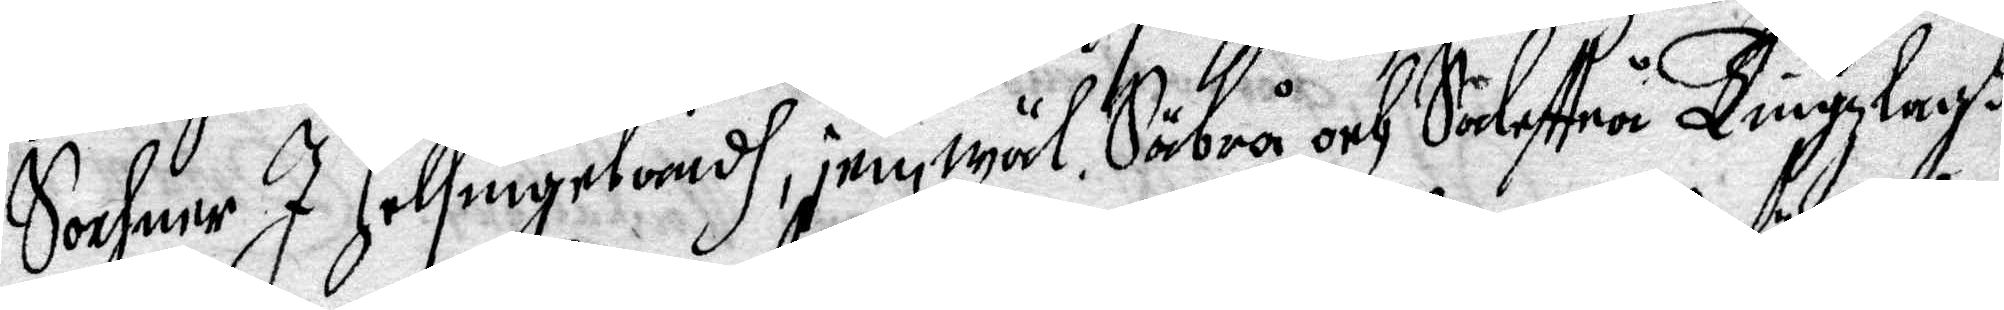Sochnar I Helsingelandh, jemwäl Säbrå och Södesttrå Tingzlagh
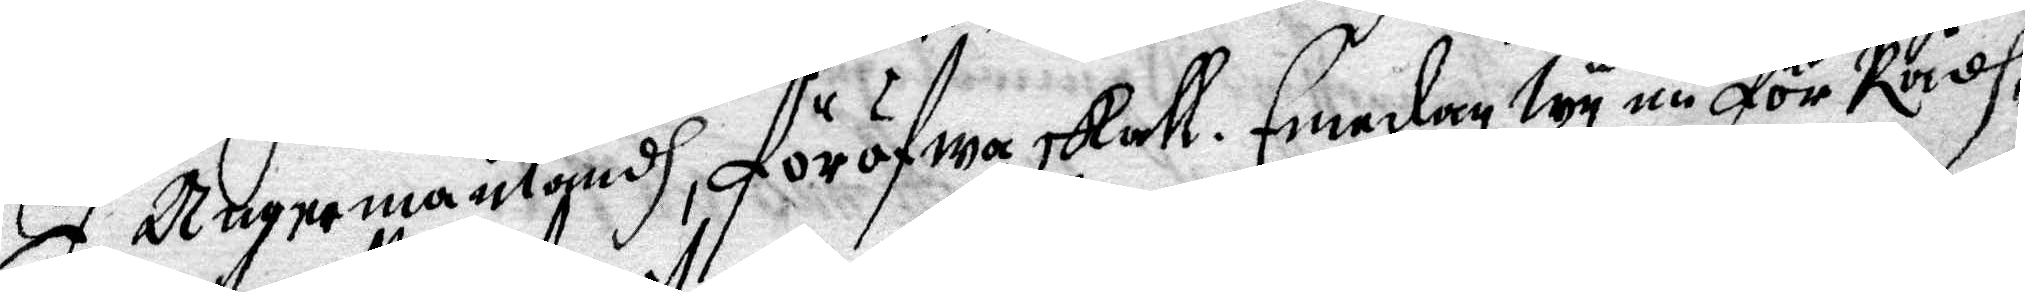I Ångermanlandh, föröfwa skall. Emedan Wy nu för Rådh
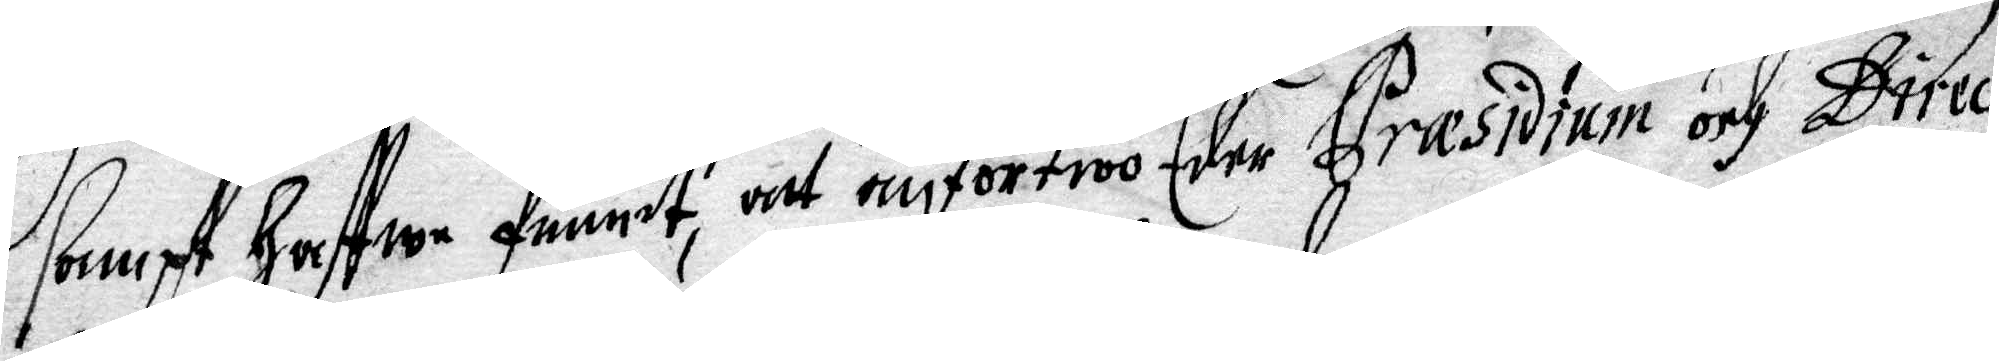sampt haffwe funnit, alt omförtroo Eder Præsidium och Direc¬
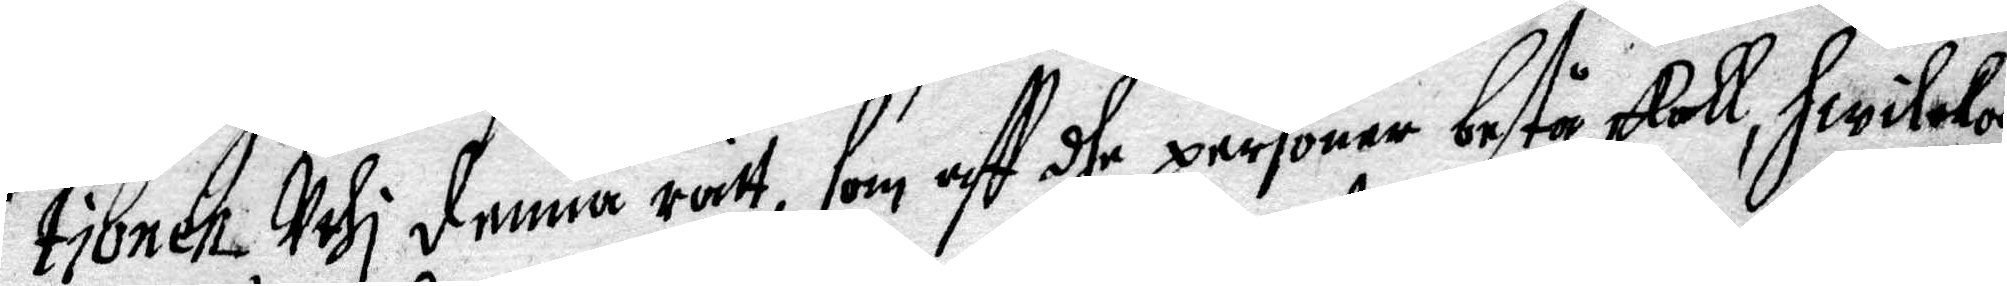tionen Uthi denna rätt, som aff dhe personer bestå skall hwilka
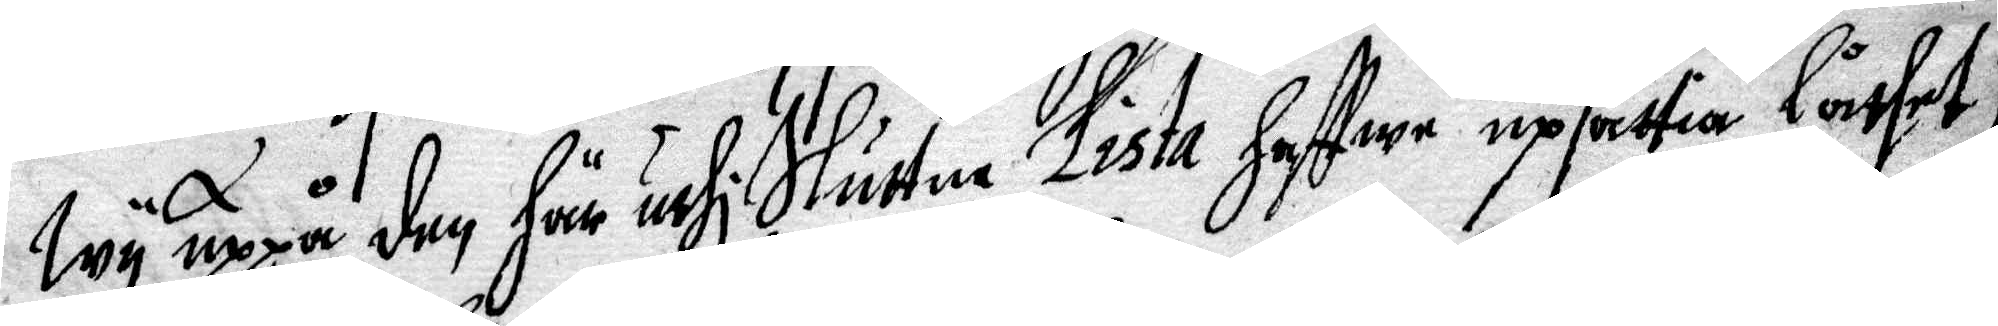Wy uppå den här uthi Sluttne Lista haffwe upsättia låtet;
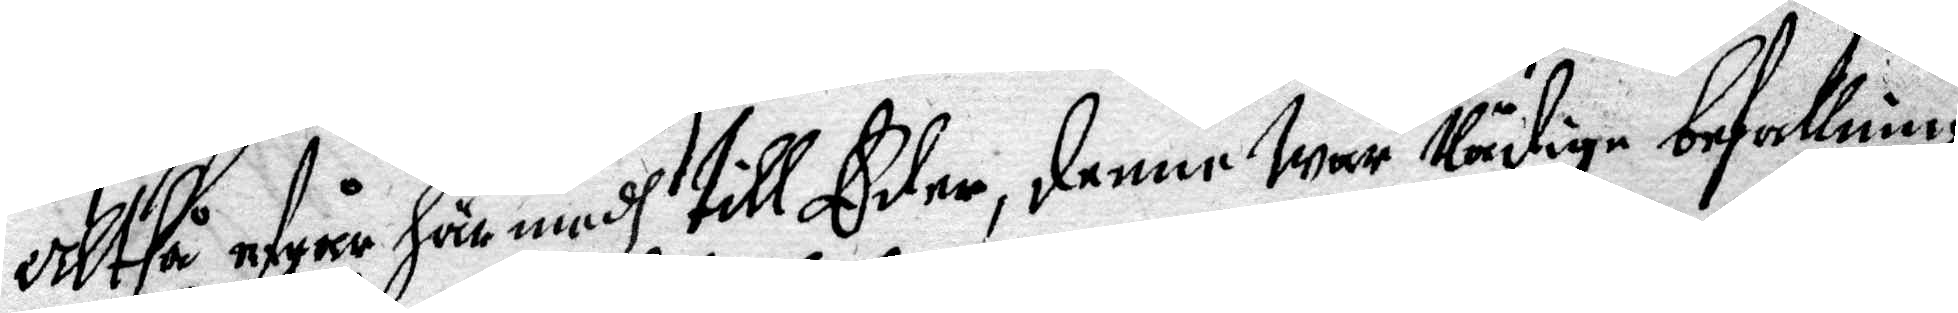Altså afgår här medh till Eder, denne Wår Nåfige befallning,
